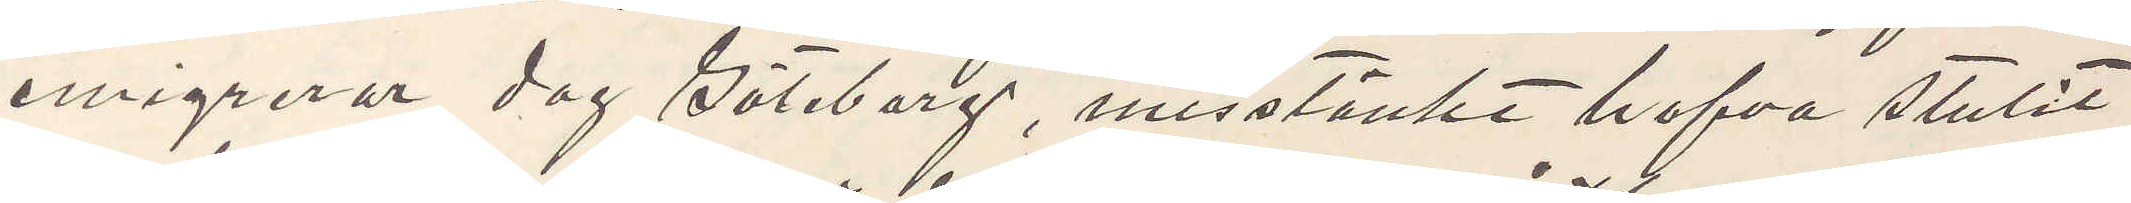emigrerar dag Göteborg, misstänkt hafva stulit
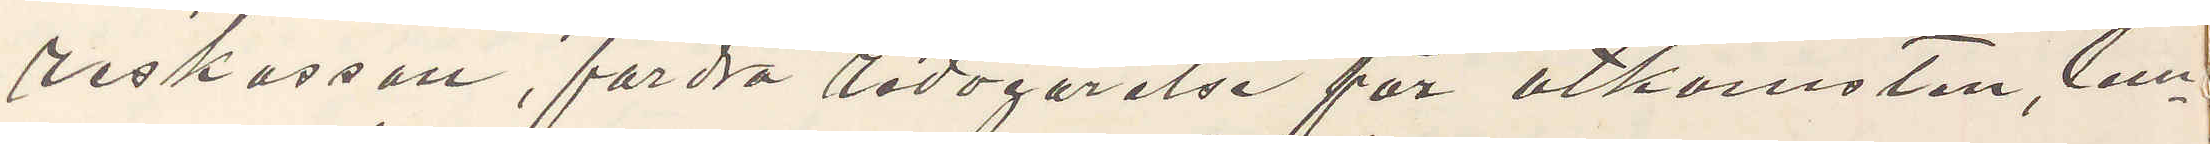reskassan, fordra redogörelse för åtkomsten, lem¬
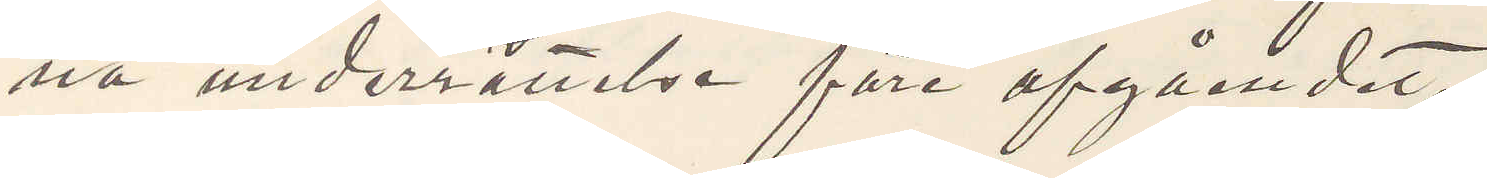na underrättelse före afgåendet.
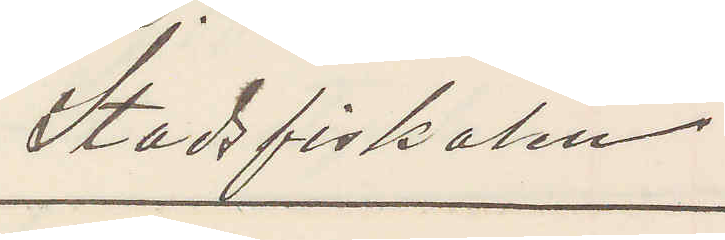Stadsfiskalen
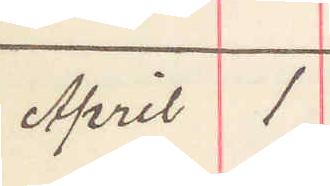April 1
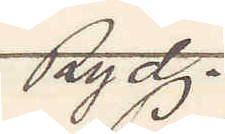Ryd.
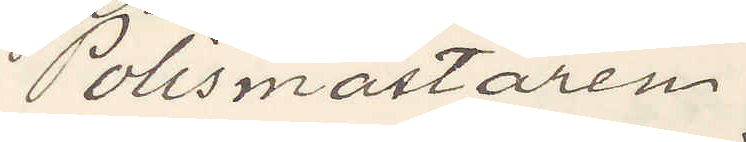Polismästaren
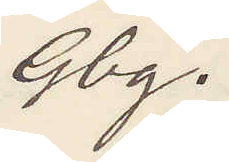Gbg.
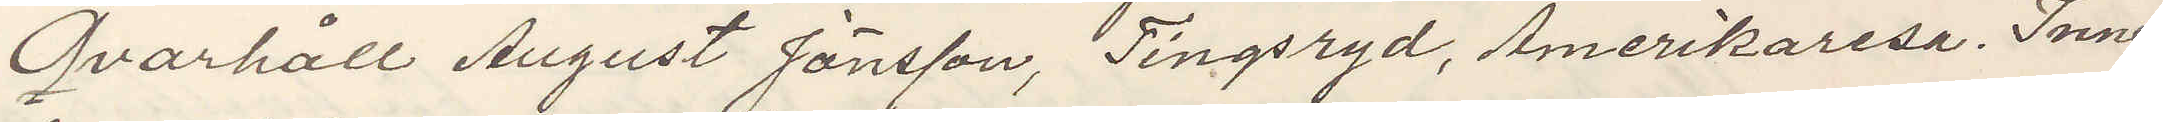Qvarhåll August Jonsson, Tingsryd, Amerikaresa. Inne¬
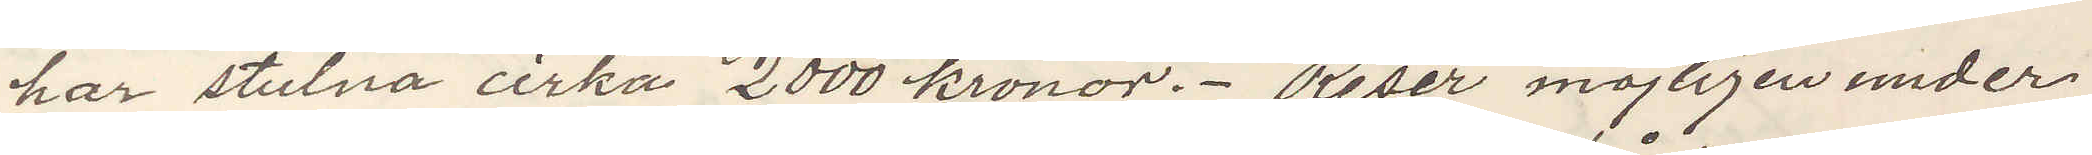har stulna cirka 2000 kronor. Reser möjligen under
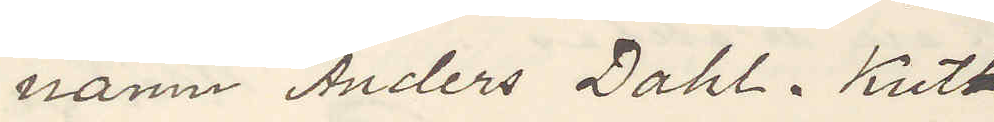namn Anders Dahl. Kut
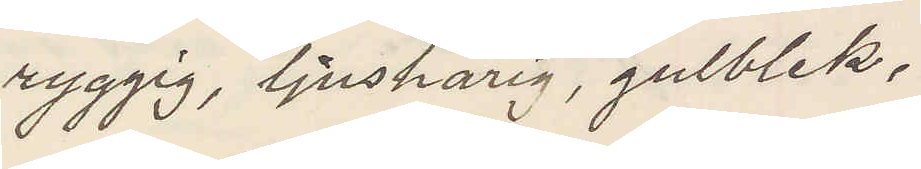ryggig, ljushårig, gulblek,
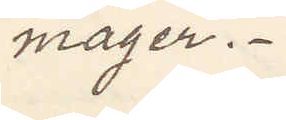mager.
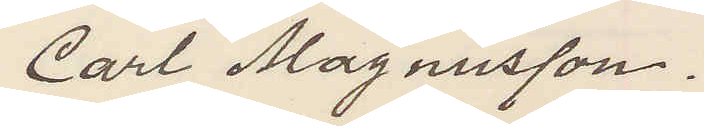Carl Magnusson.
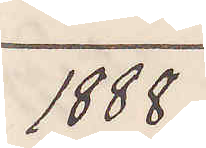1888
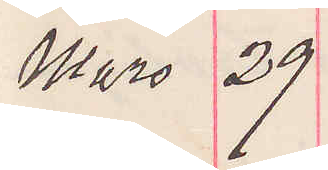Mars 29.
